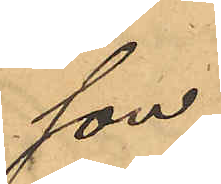son
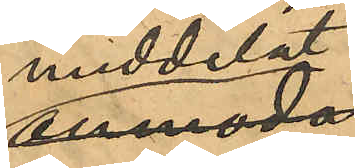meddelat
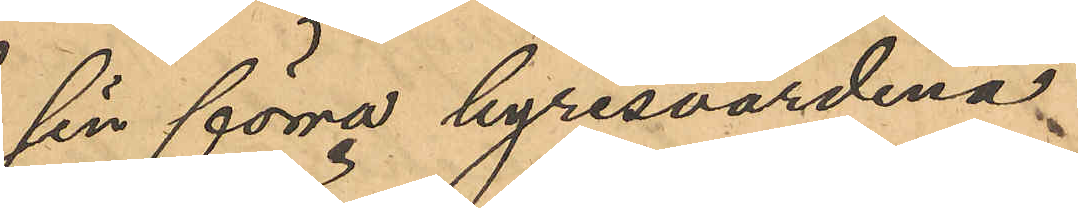sin förra hyresvärdina,
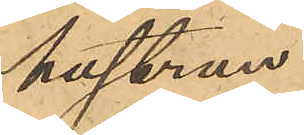hustrun
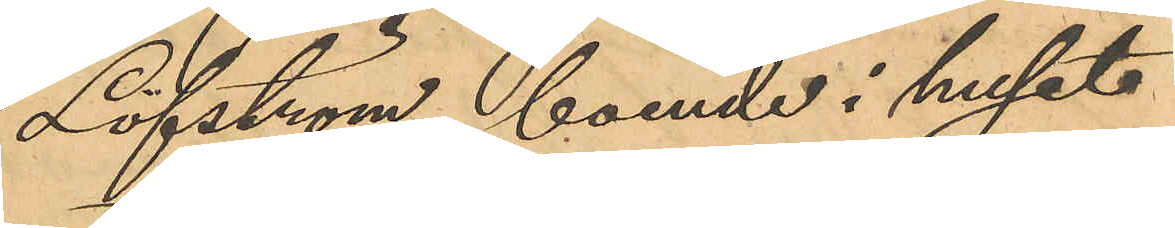Löfström, boende i huset
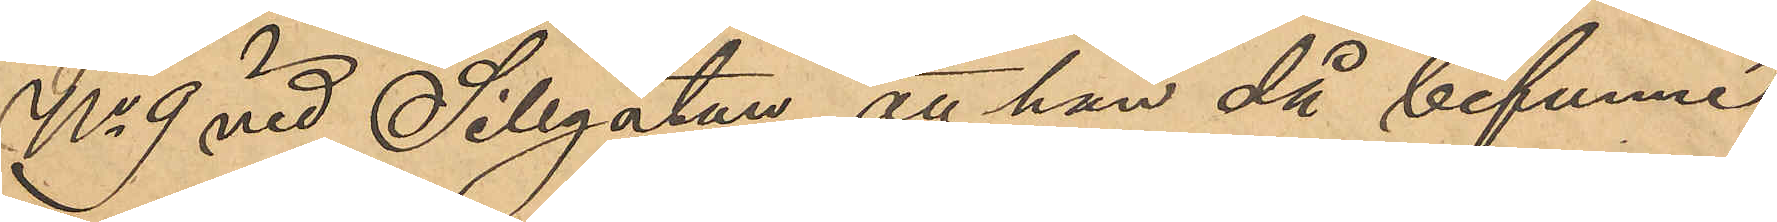No 9 vid Sillgatan, att han då befunne
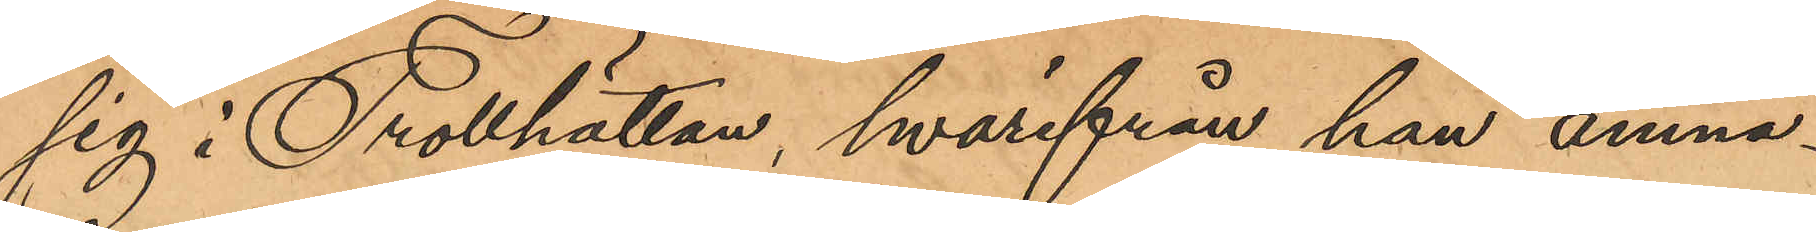sig i Trollhättan, hvarifrån han ämna¬
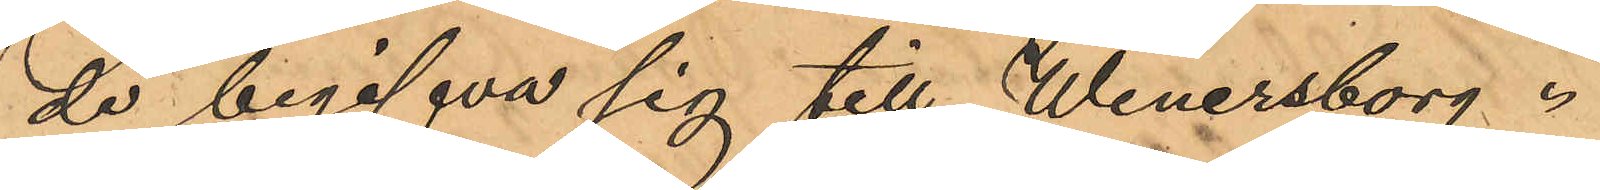de begifva sig till Wenersborg.
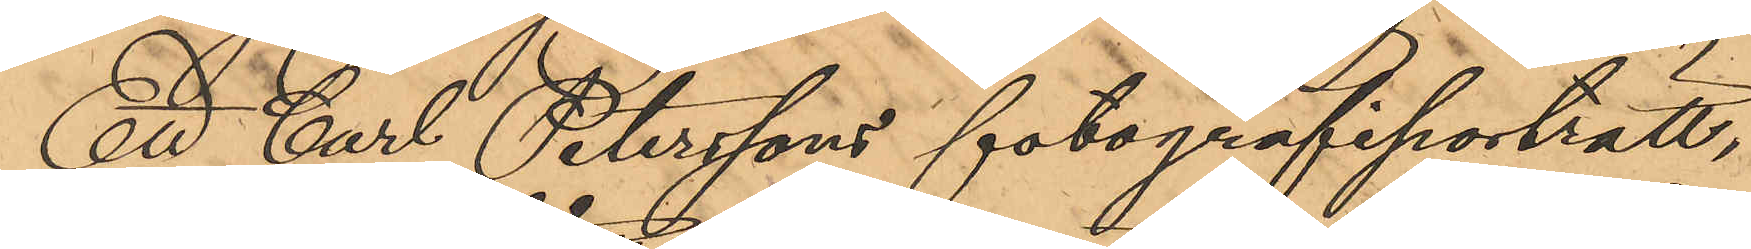Ett Carl Peterssons fotografiporträtt,
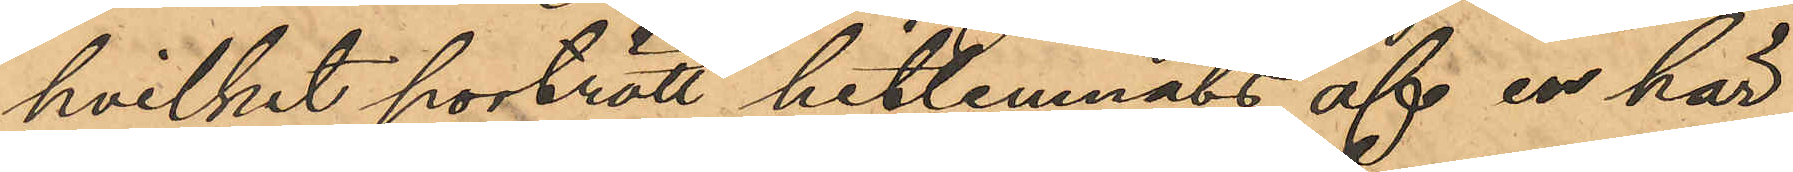hvilket porträtt hitlemnats af en här
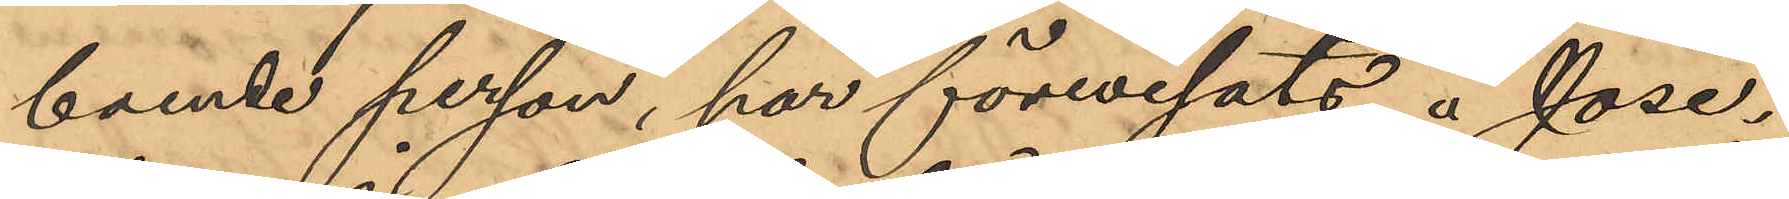boende person, har förevisats å Jose¬
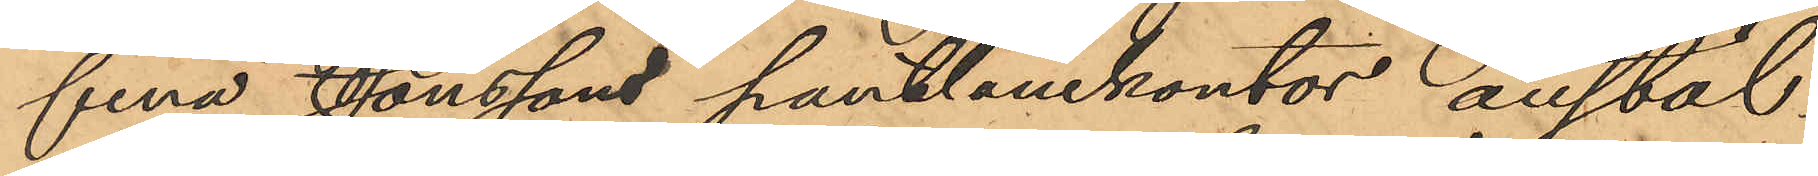fina Jonssons pantlånekontor anstäl¬
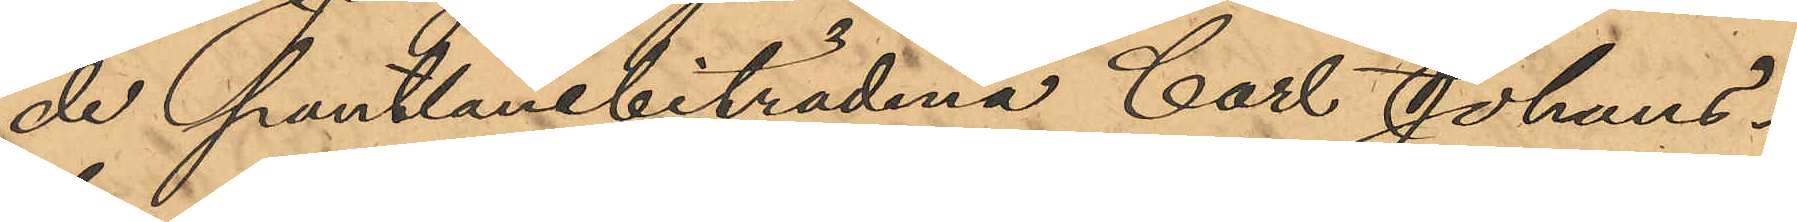de Pantlånebiträdena Carl Johans¬
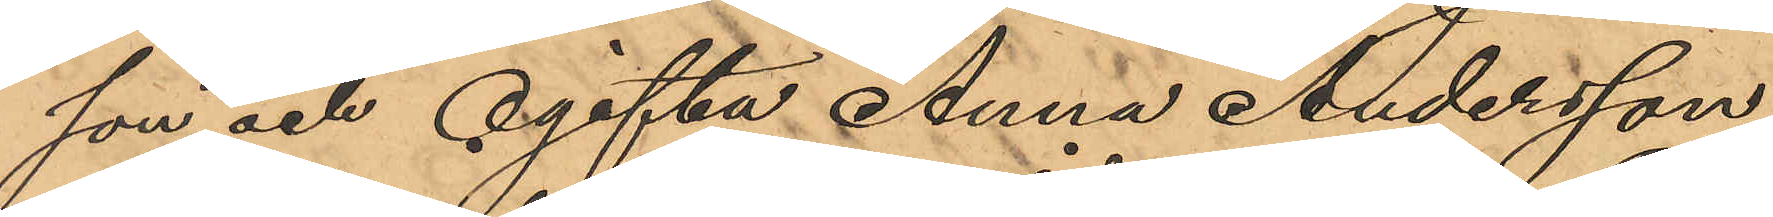son och ogifta Anna Andersson,
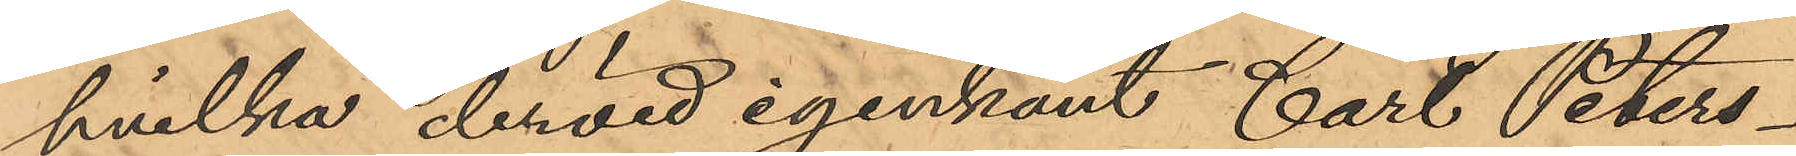hvilka dervid igenkänt Carl Peters¬
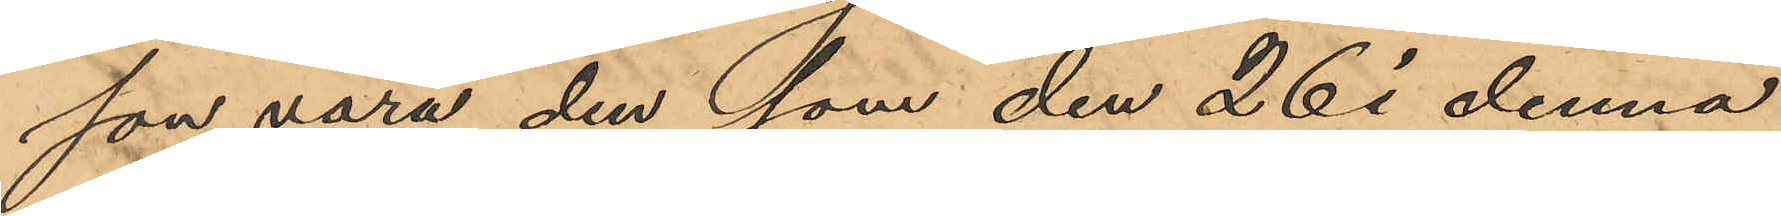son vara den som den 26 i denna
